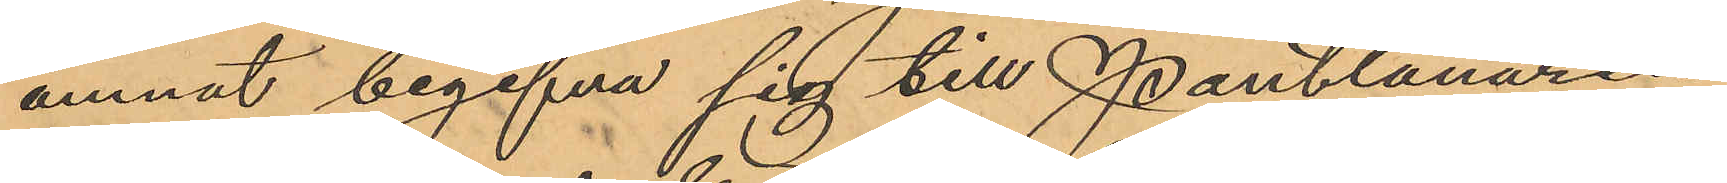ämnat begifva sig till Pantlånaren
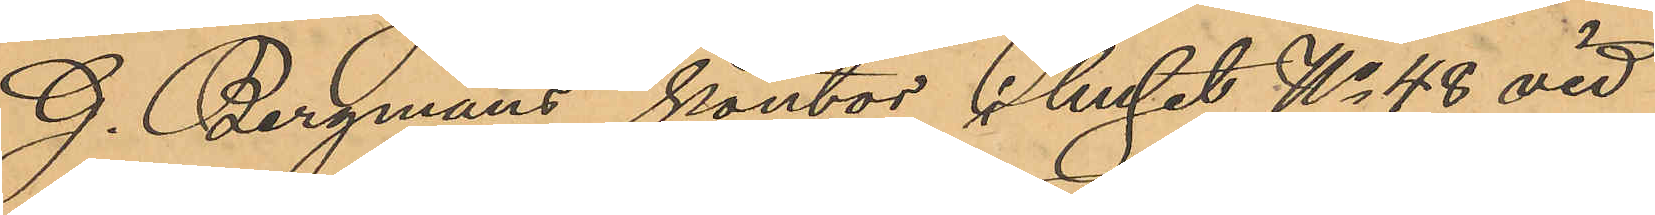G. Bergmans kontor i huset No 48 vid
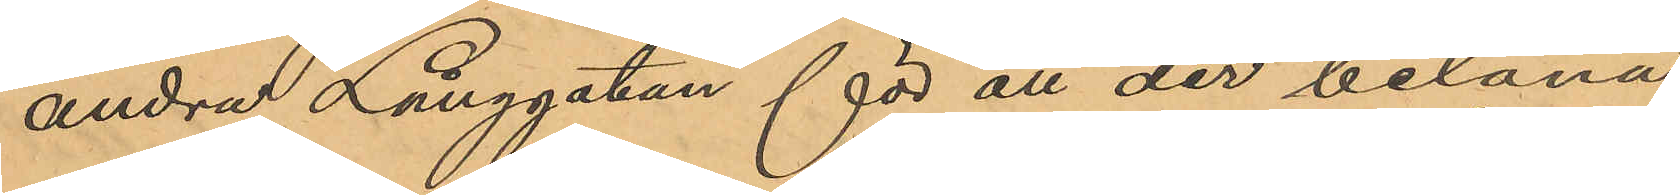andra Långgatan för att der belåna
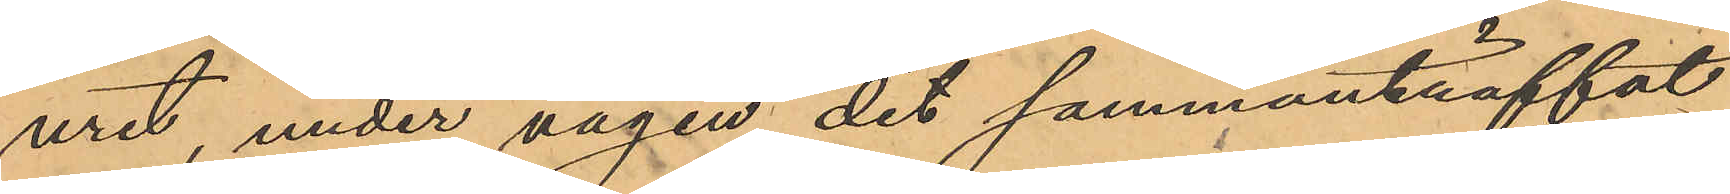uret, under vägen dit sammanträffat
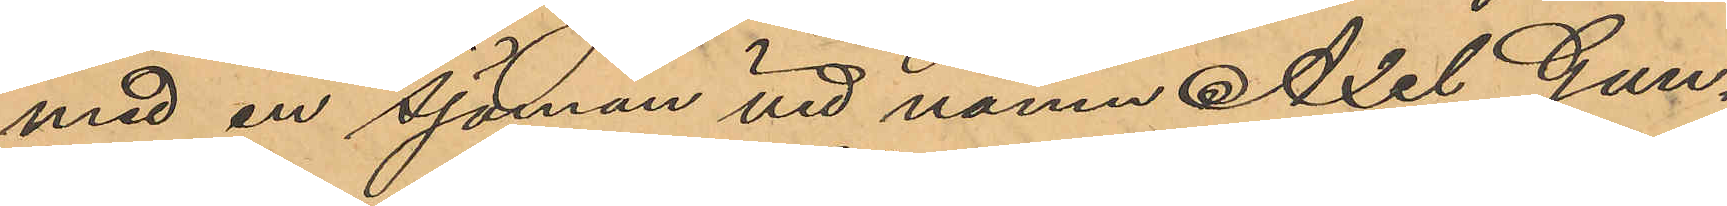med en sjöman vid namn Axel Gun¬
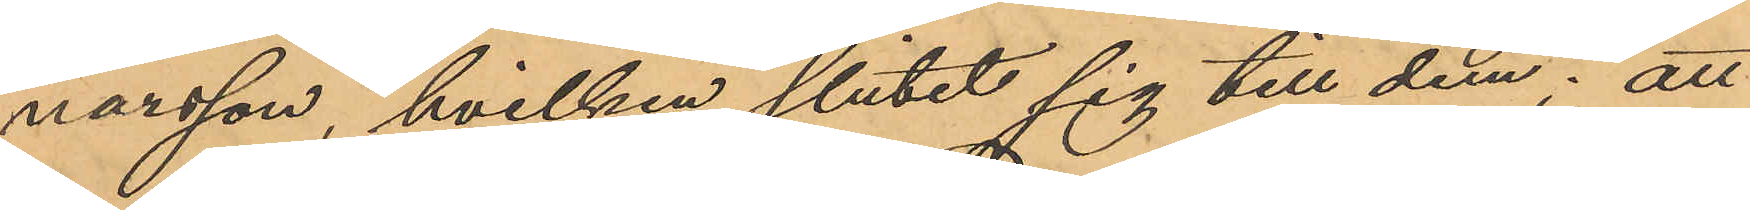narsson, hvilken slutit sig till dem; att
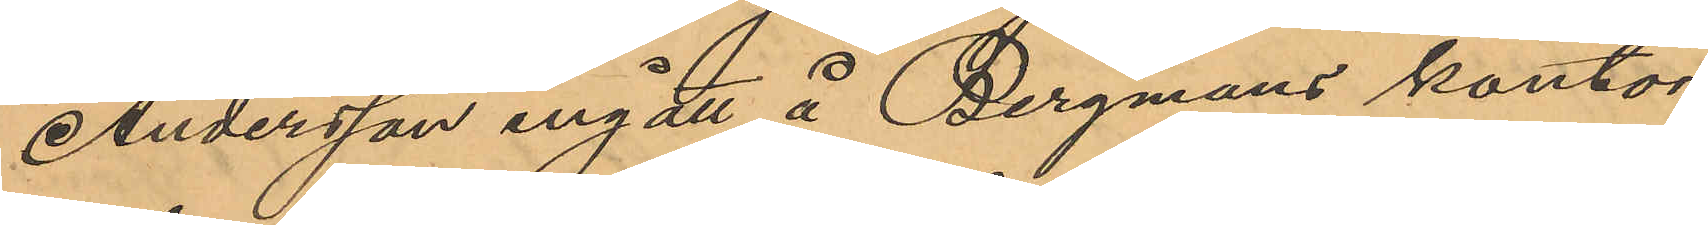Andersson ingått å Bergmans kontor
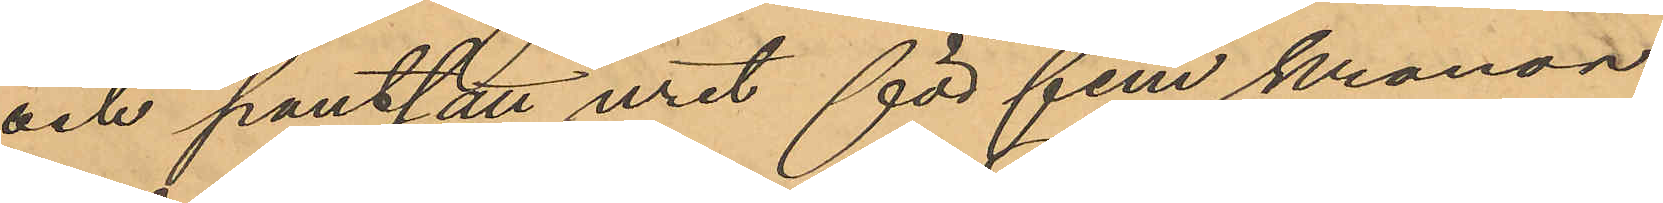och pantsatt uret för fem kronor
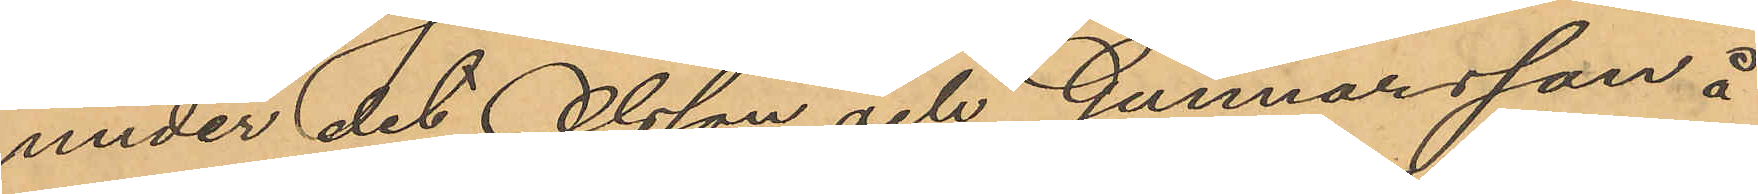under det Olsson och Gunnarsson å
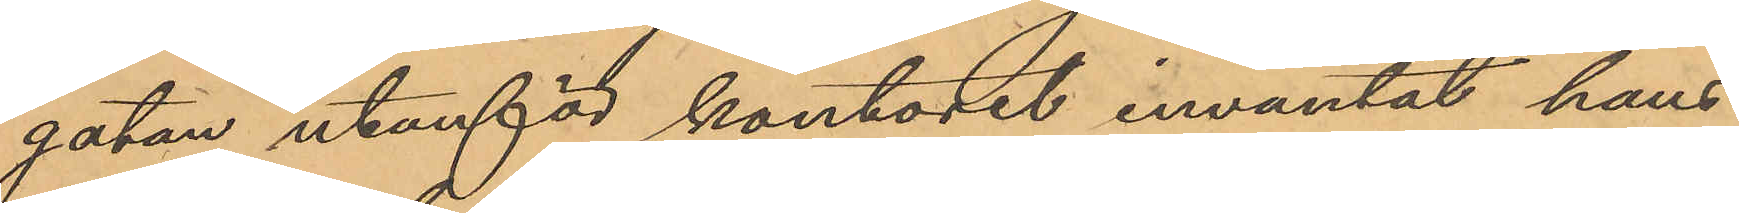gatan utanför kontoret inväntat hans
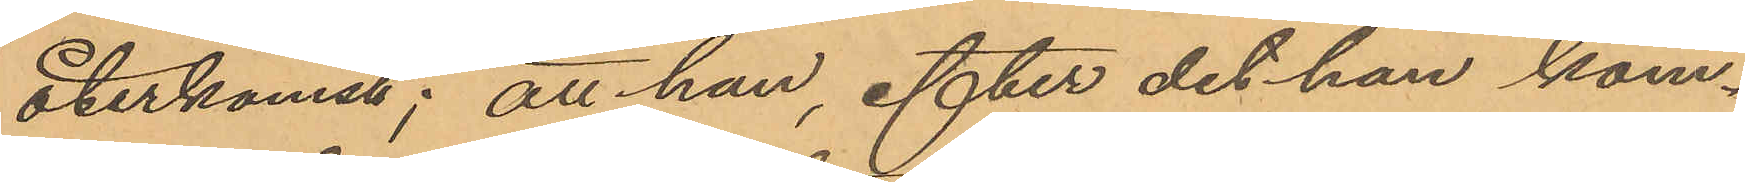återkomst; att han, efter det han kom¬
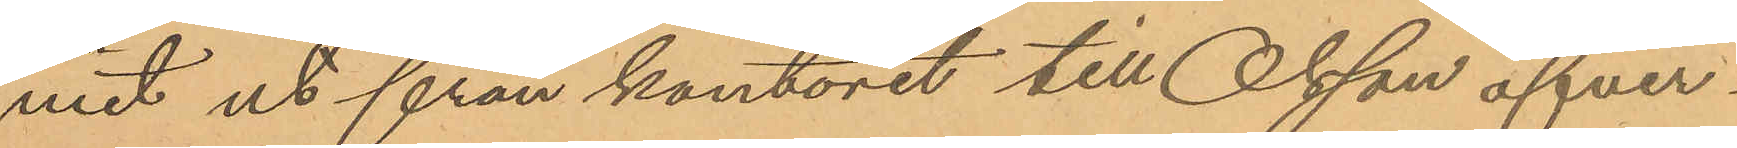mit ut från kontoret till Olsson öfver¬
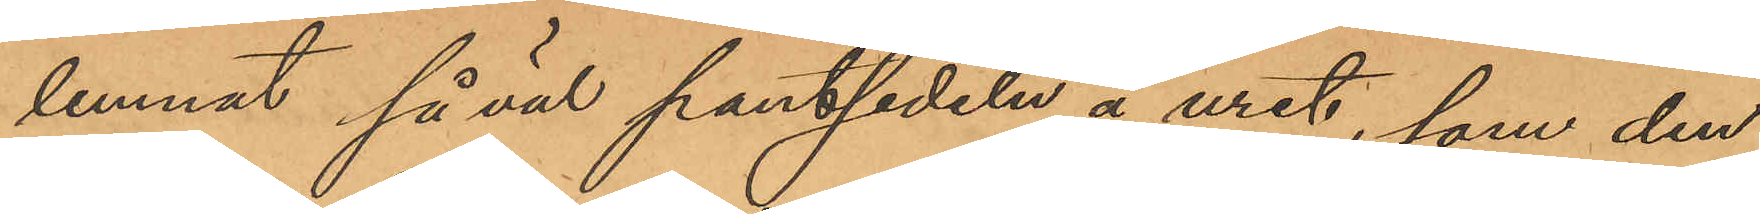lemnat såväl pantsedeln å uret, som den
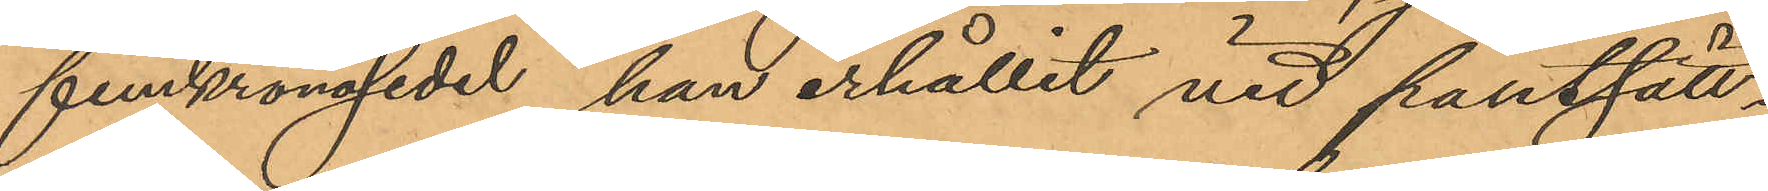femkronosedel han erhållit vid pantsätt¬
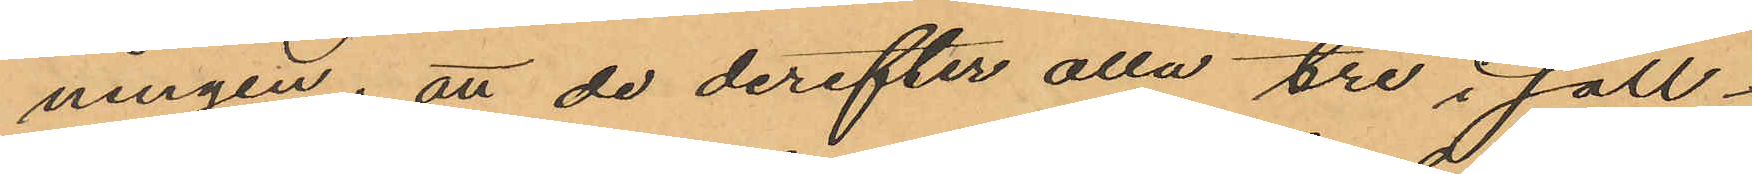ningen; att de derefter alla tre i säll¬
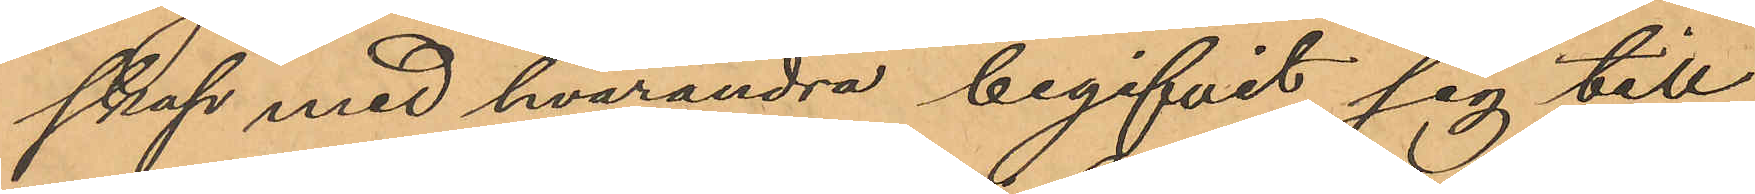skap med hvarandra begifvit sig till
